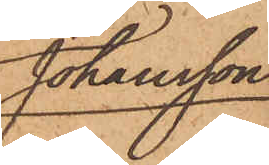Johansson
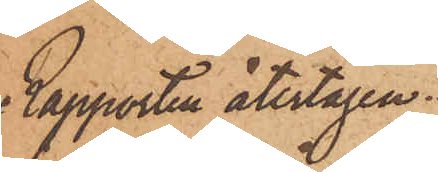Rapporten återtagen.
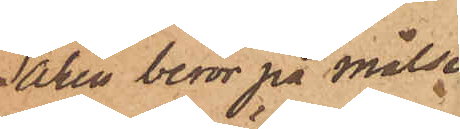Saken beror på Målse¬
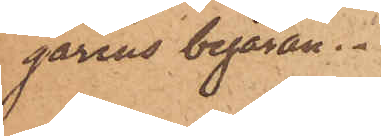garens begäran.
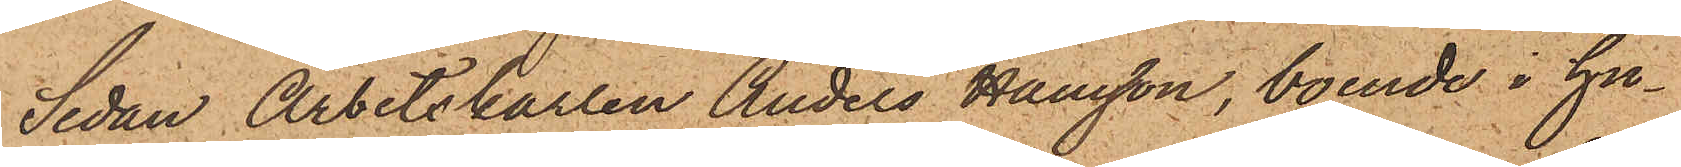Sedan Arbetskarlen Anders Hansson, boende i hu¬
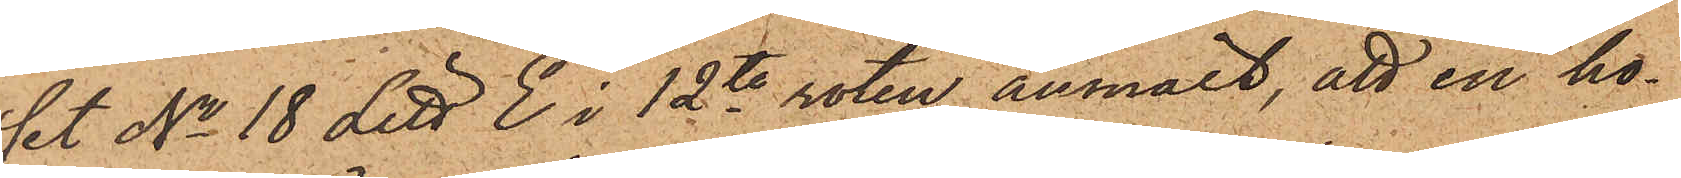set No 18 Litt. E i 12te roten anmält, att en ho¬
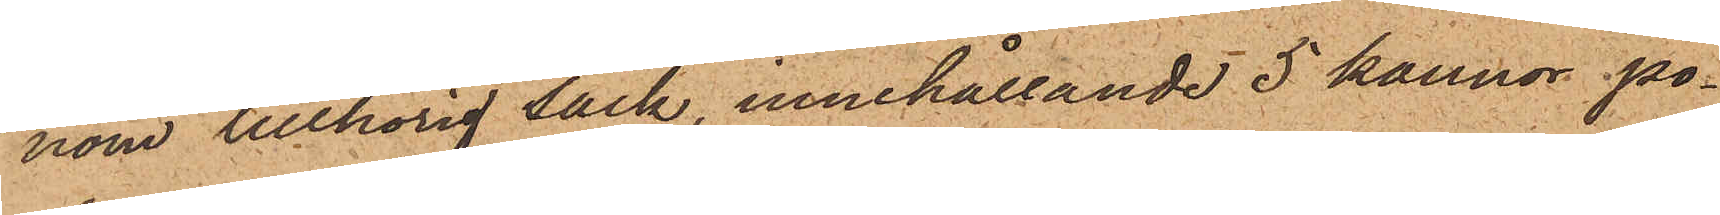nom tillhörig säck, innehållande 5 kannor po¬
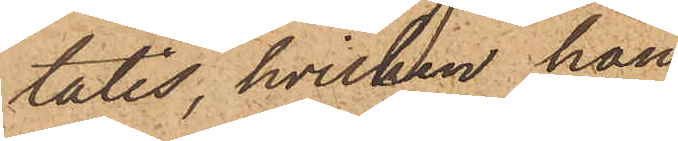tatis, hvilken han
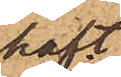haft
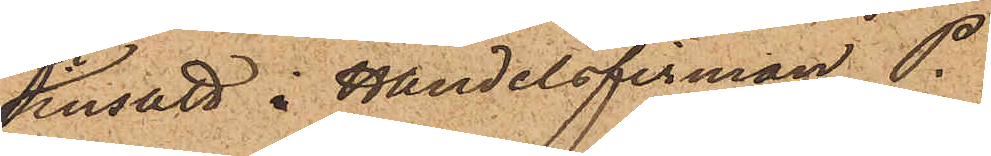insatt i Handelsfirman P.
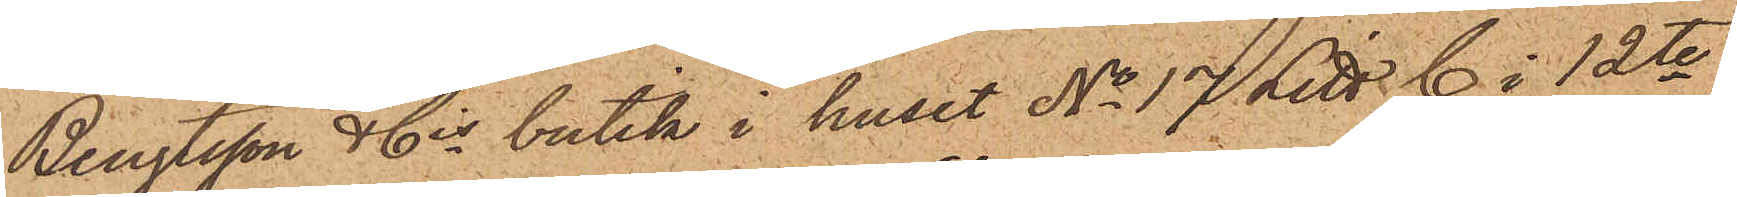Bengtsson & Cis butik i huset No 17 Litt. C i 12te
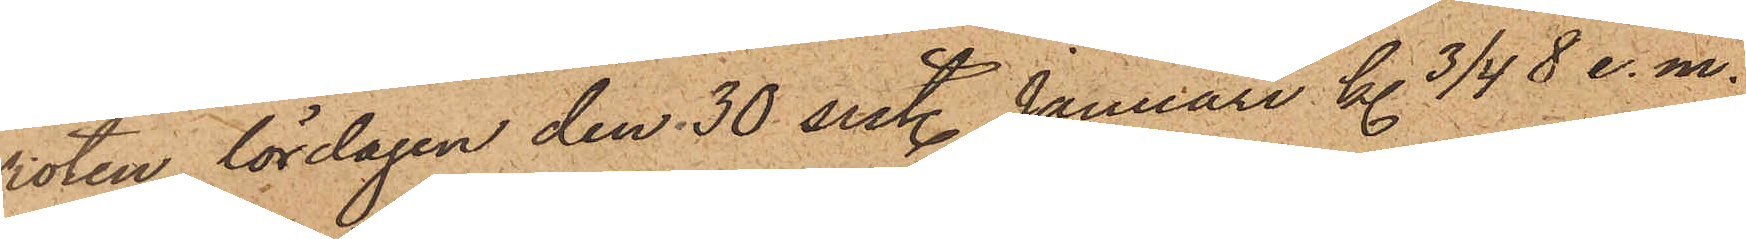roten, lördagen den 30 sist. Januari kl 3/4  8 e. m.
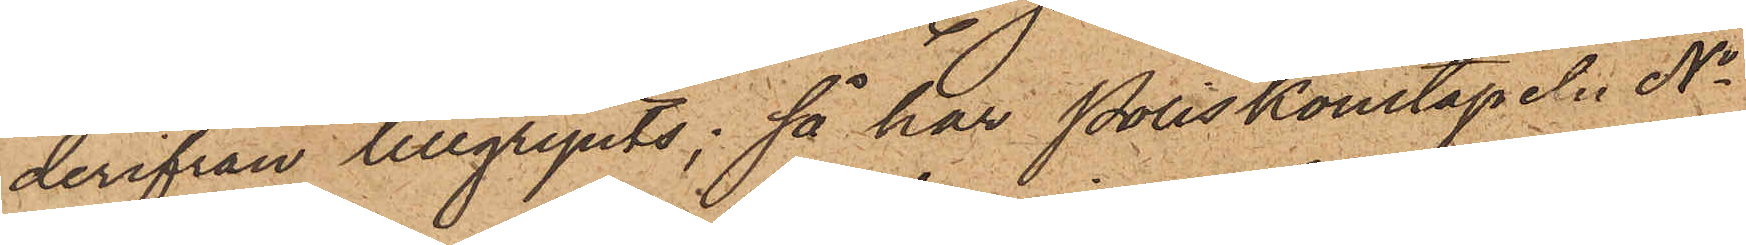derifrån tillgripits; så har Poliskonstapeln No
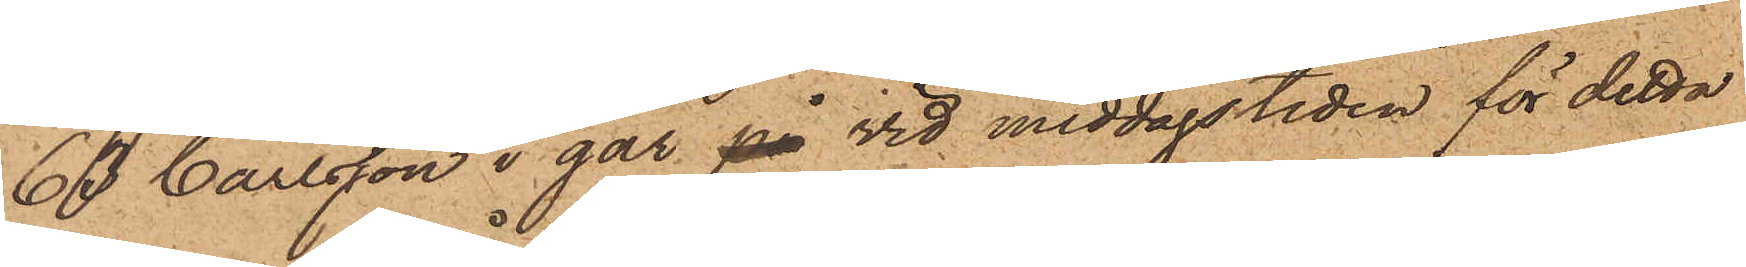63 Carlsson i går på vid middagstiden för detta
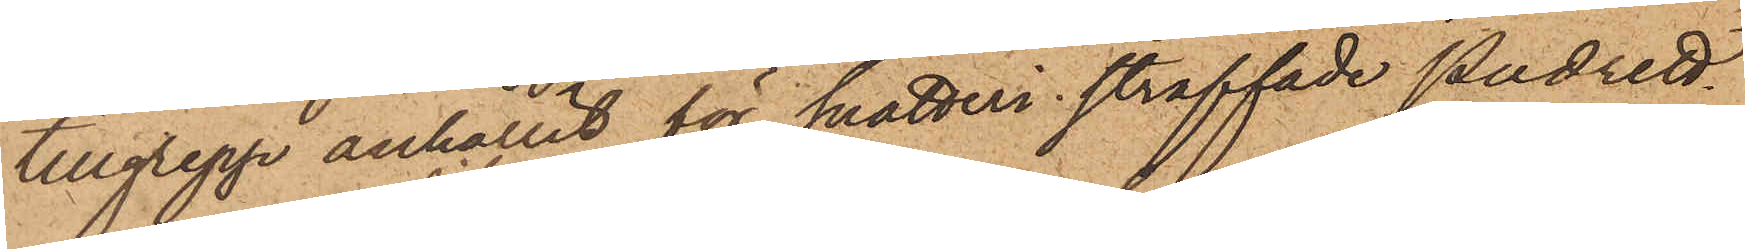tillgrepp anhållit för snatteri straffade Pudrett¬
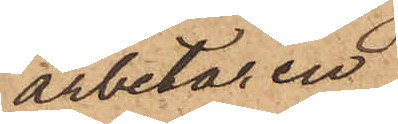arbetaren
